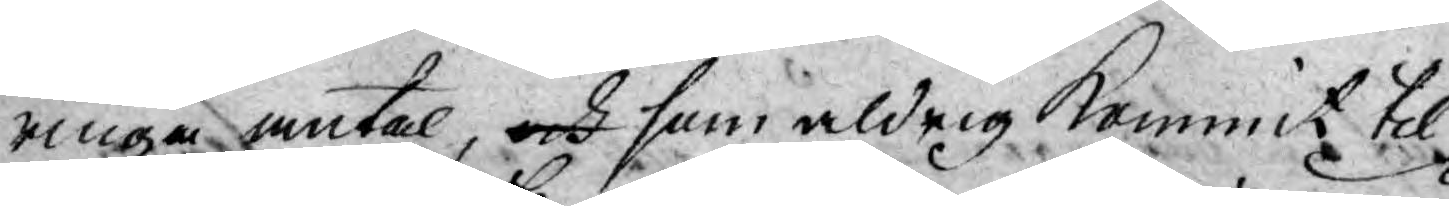ringa antal, och som aldrig kommit til
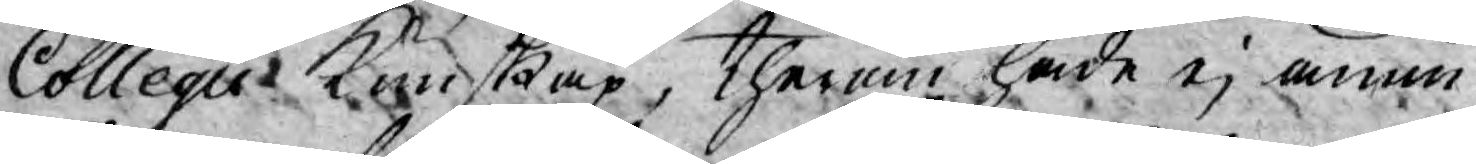Collegii Kunskap, therom hade ej ännu
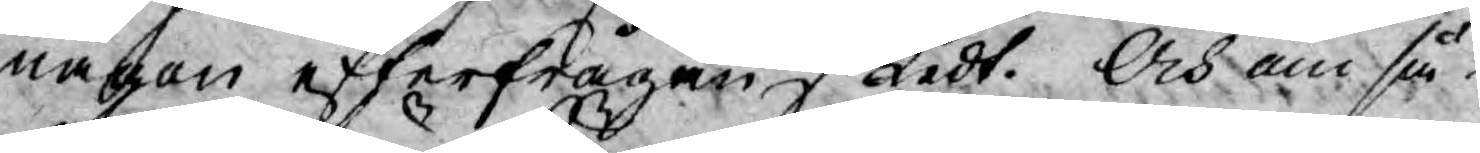någon efterfrågan skedt. Och om så¬
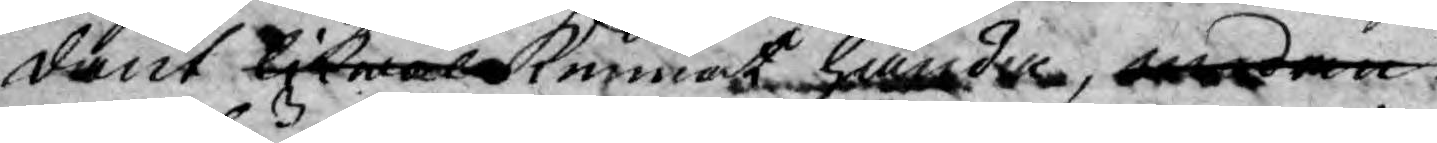dant likwäl kunna hända emedan
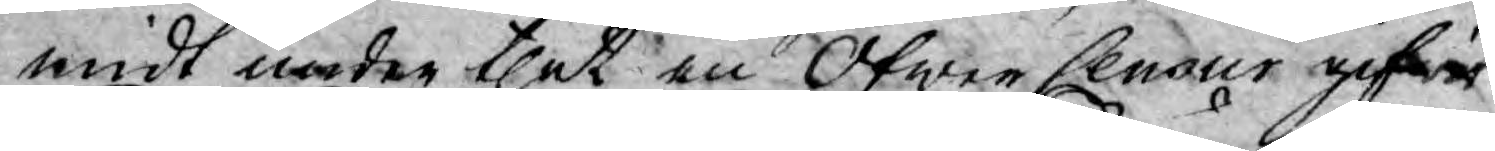midt under thet en Öfwer Censor gifwits,
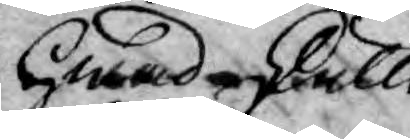hwad skulle
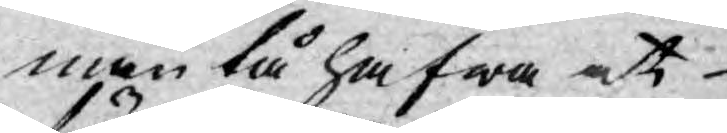man tå hafwa at
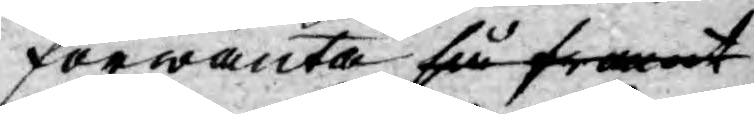förwänta så framt
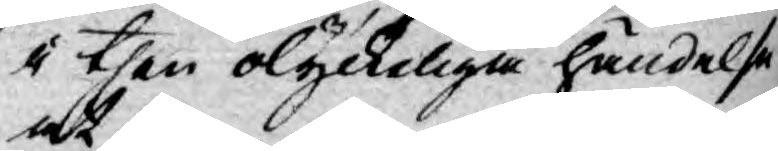i then olyckeliga händelse at,
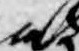at
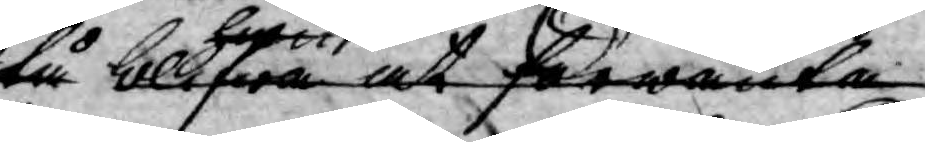tå blifwa at förwänta
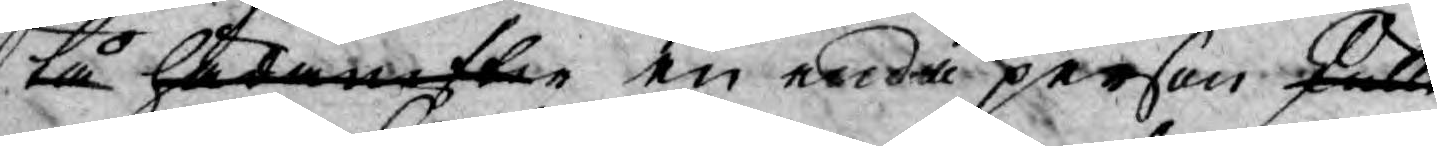tå hädaefter en enda person skulle
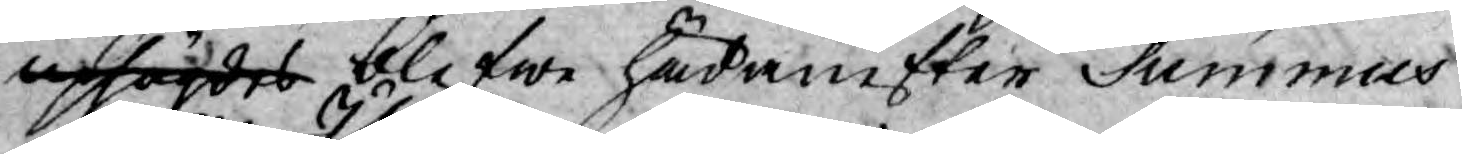uphögdes blifwe hädanefter Summus
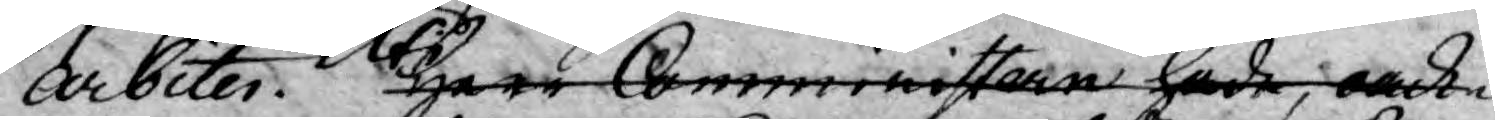Arbiter. Uti Herr Comministern hade, oack¬
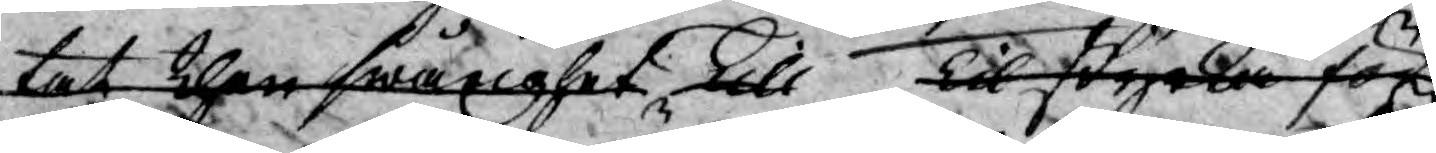tat then swårighet till tilstyrka för
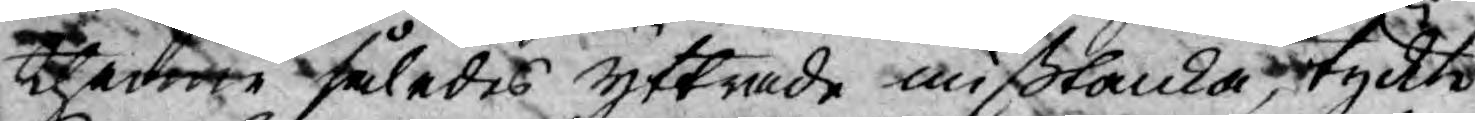thenne således yttrade mißtanke, tyckte
